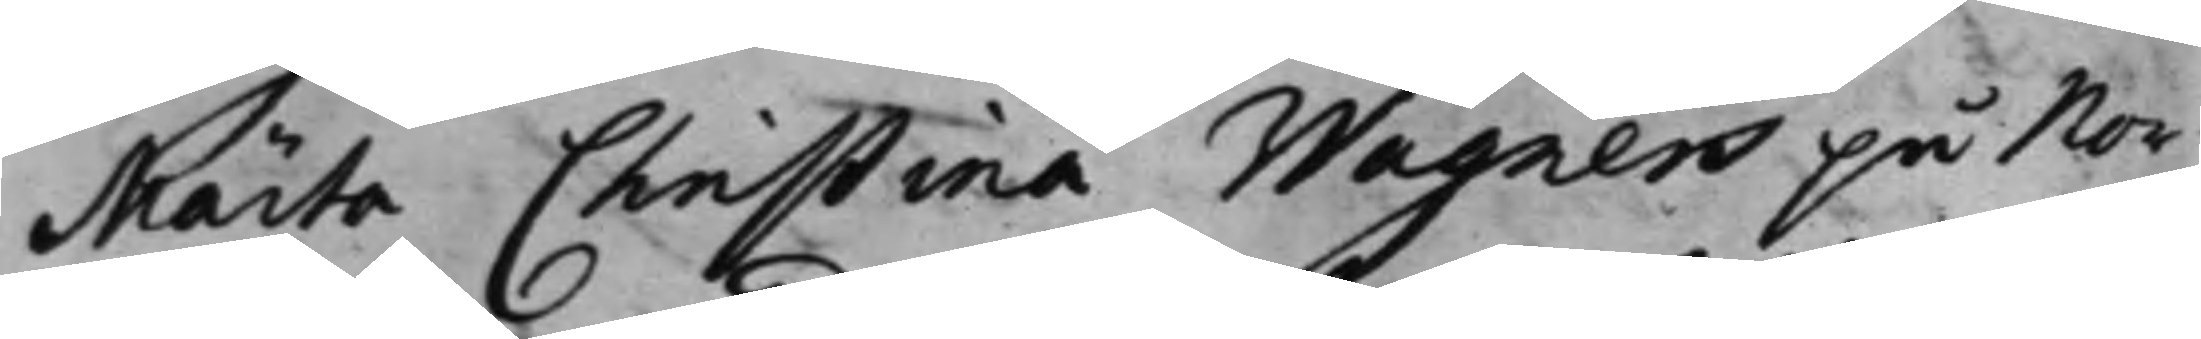Märta Christina Wagners på Nor¬
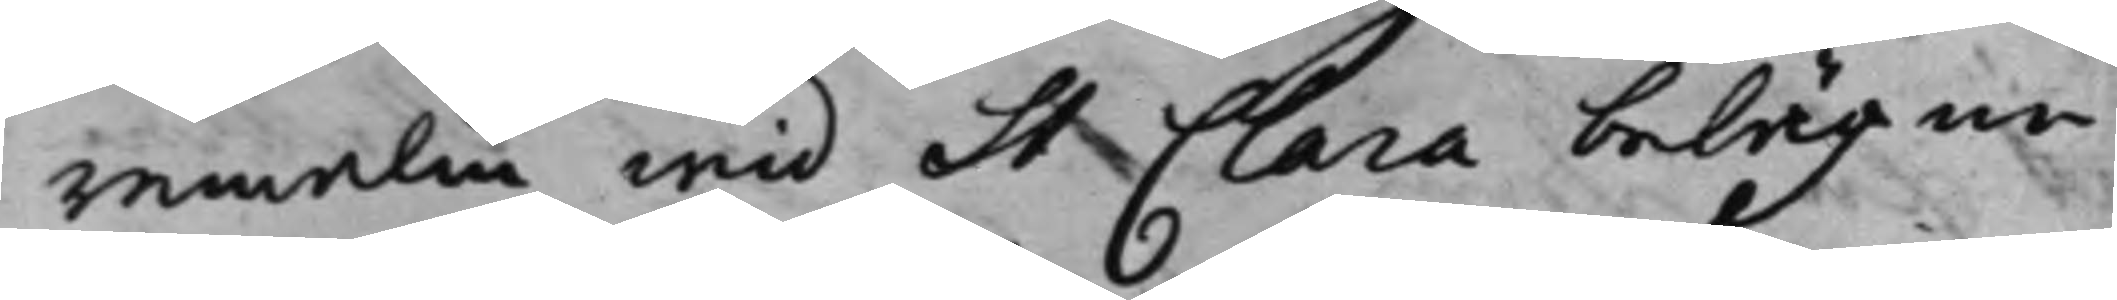remalm wid St Clara belägne
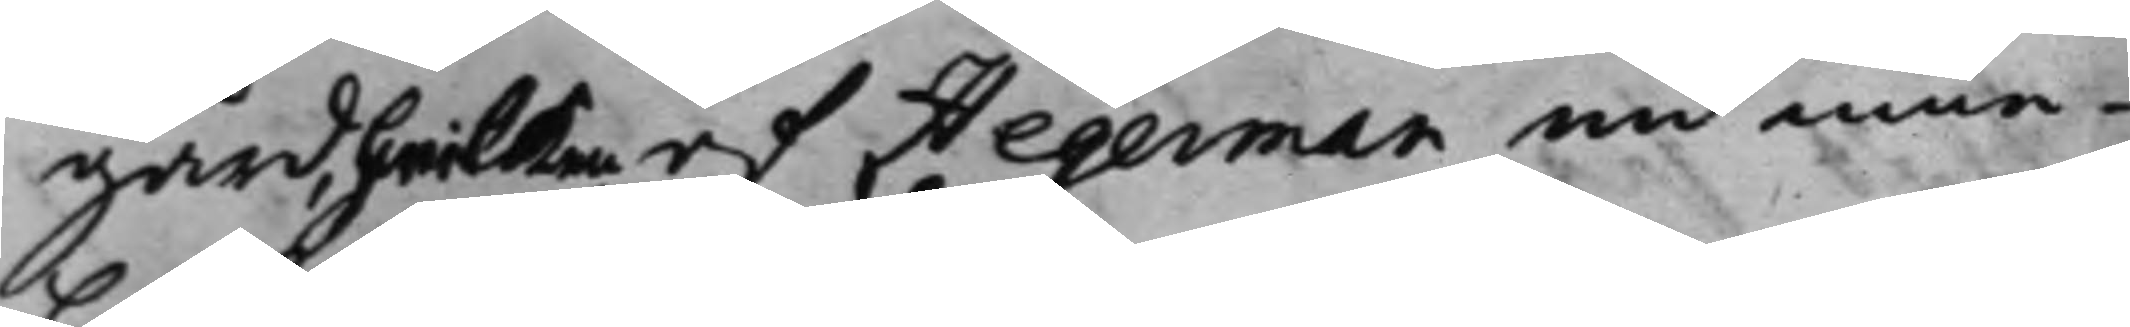gård, hwilken af Hegerman nu inne¬
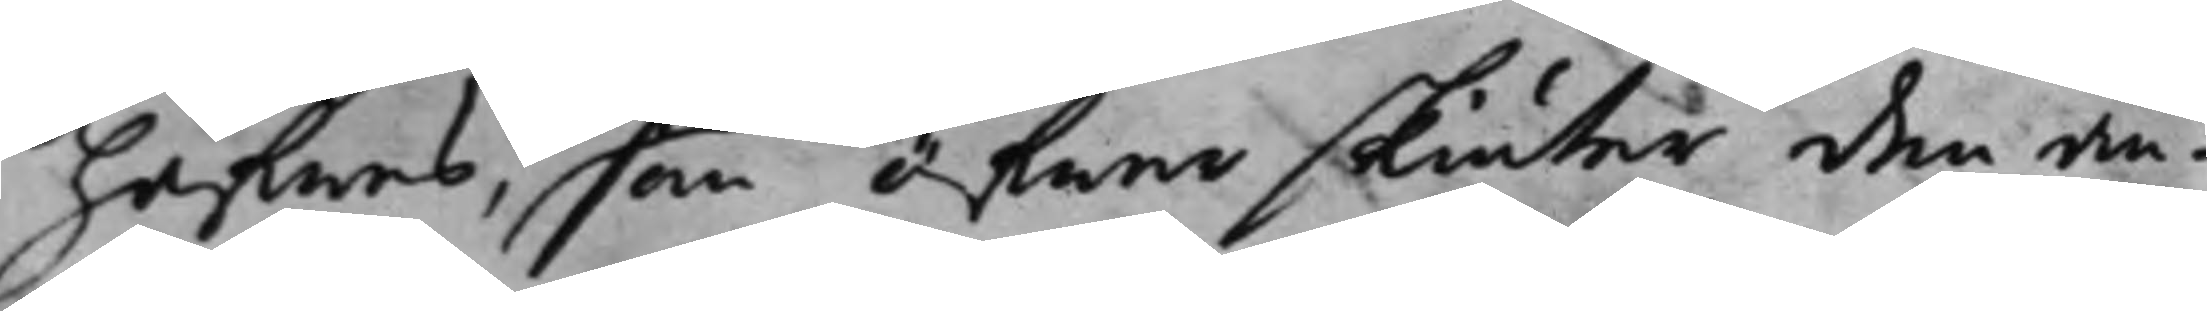hafwes, som öfwer skiuter den an¬
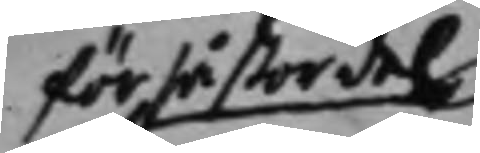för så stor del
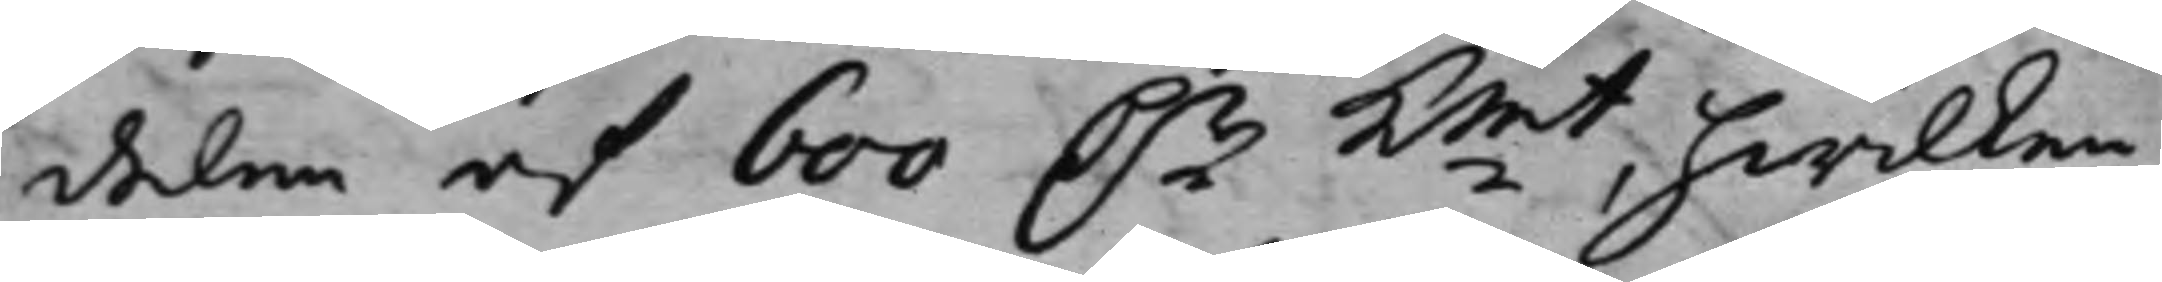delen af 600 Dr Kmt, hwilken
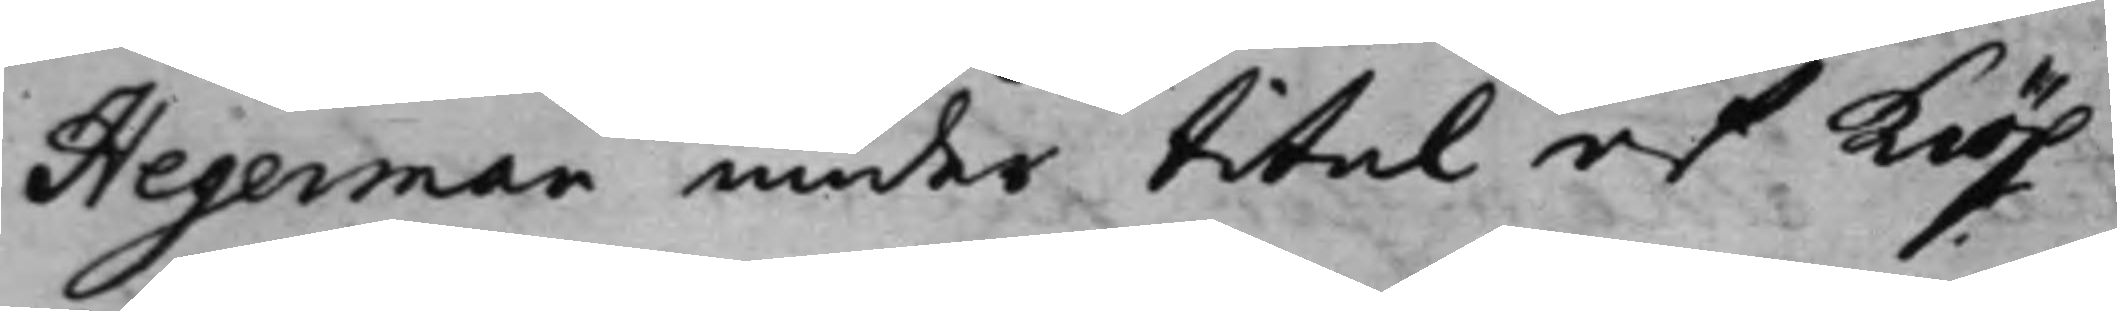Hegerman under titel af kiöp
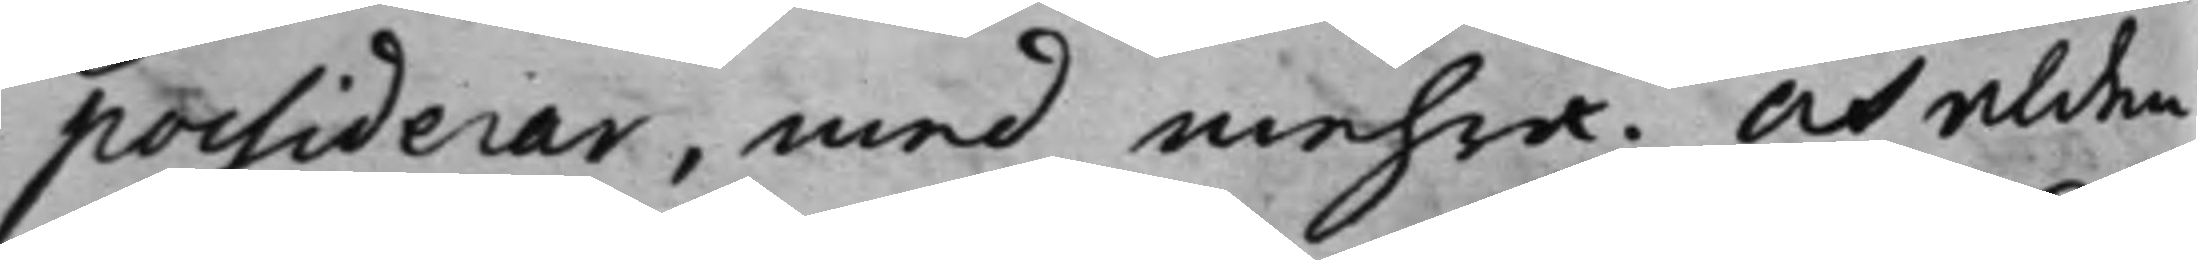possiderar, med mehra. At alden¬
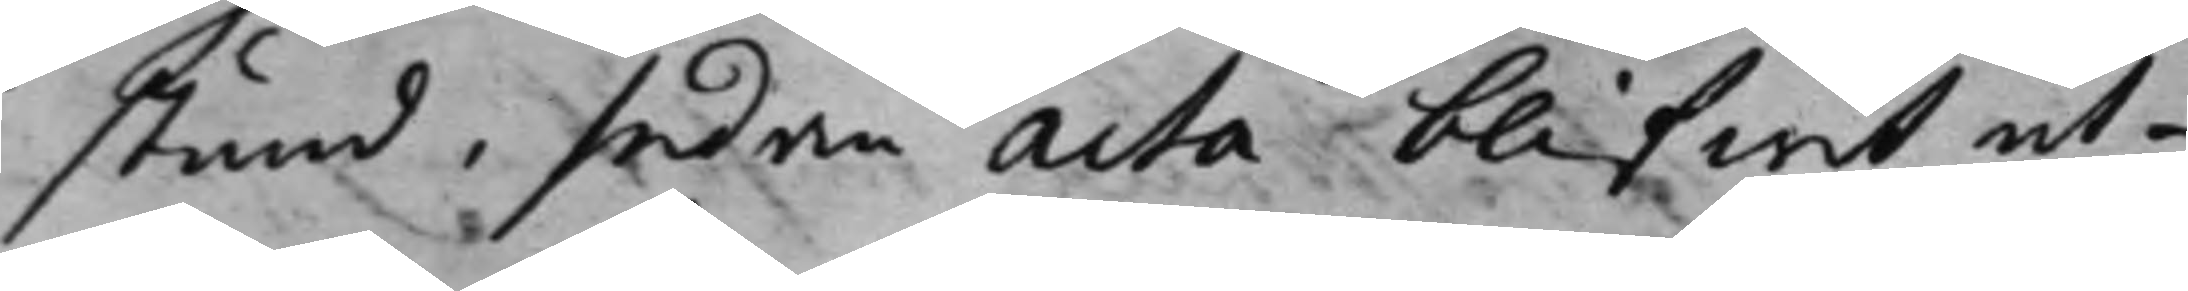stund, sedan acta blifwit ut¬
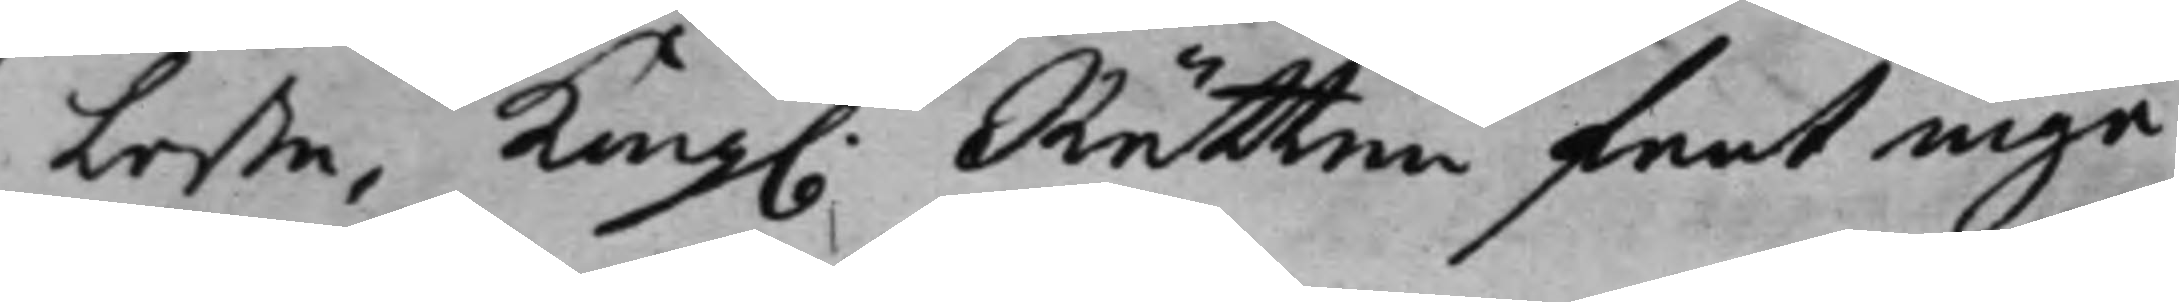lesta, Kong. Rätten fant inga
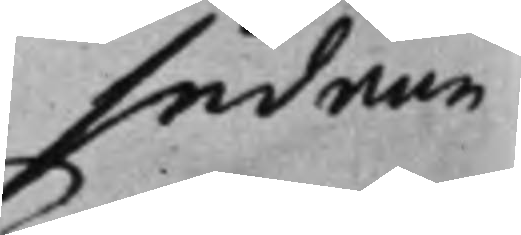sådane
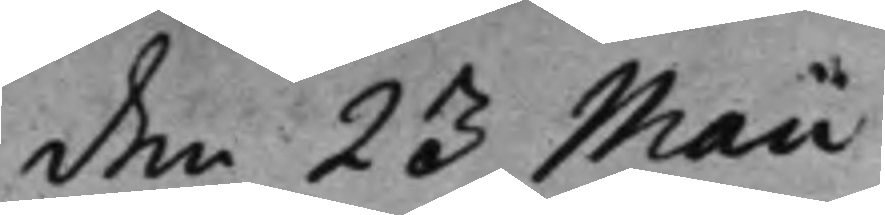den 23 Maii
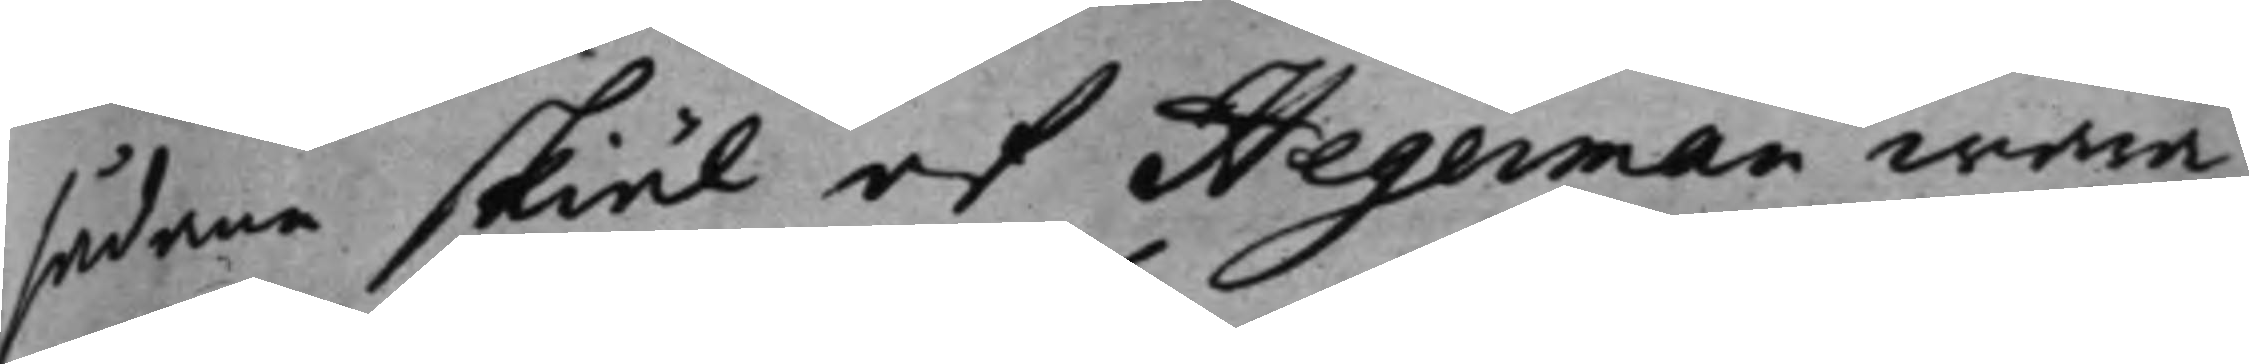sådane skiäl af Hegerman wara
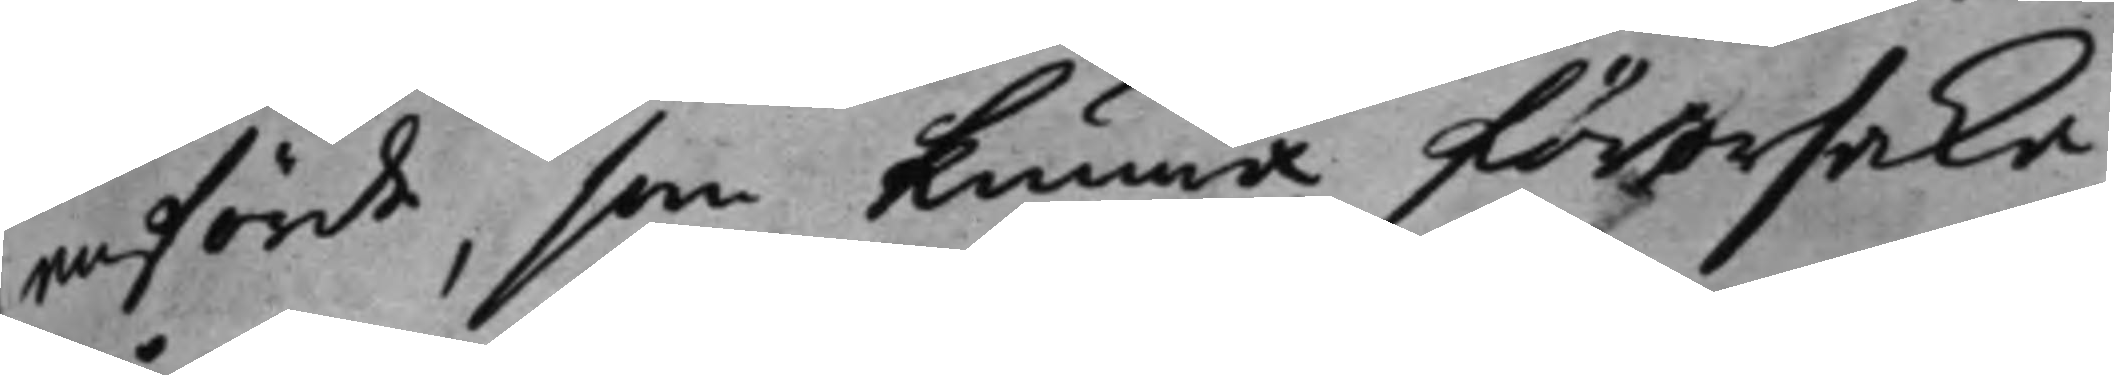anförde, som kunna förorsaka
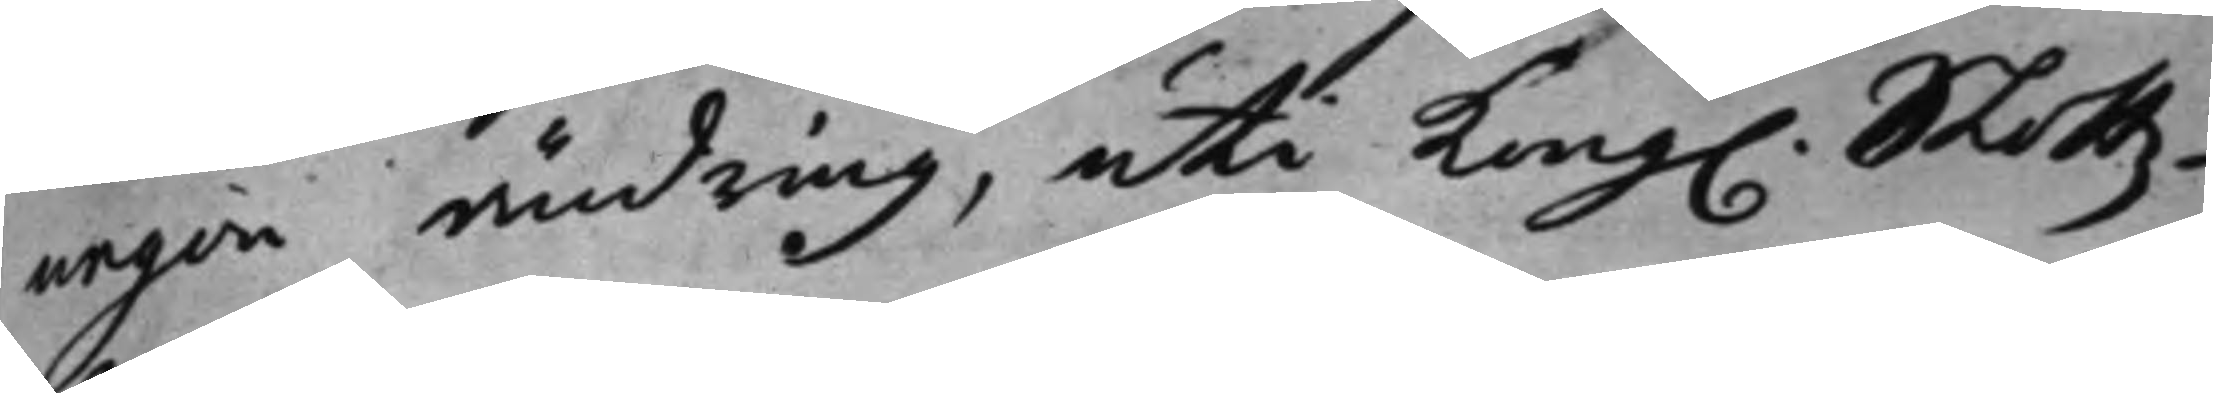någon ändring, uti Kong. Slottz¬
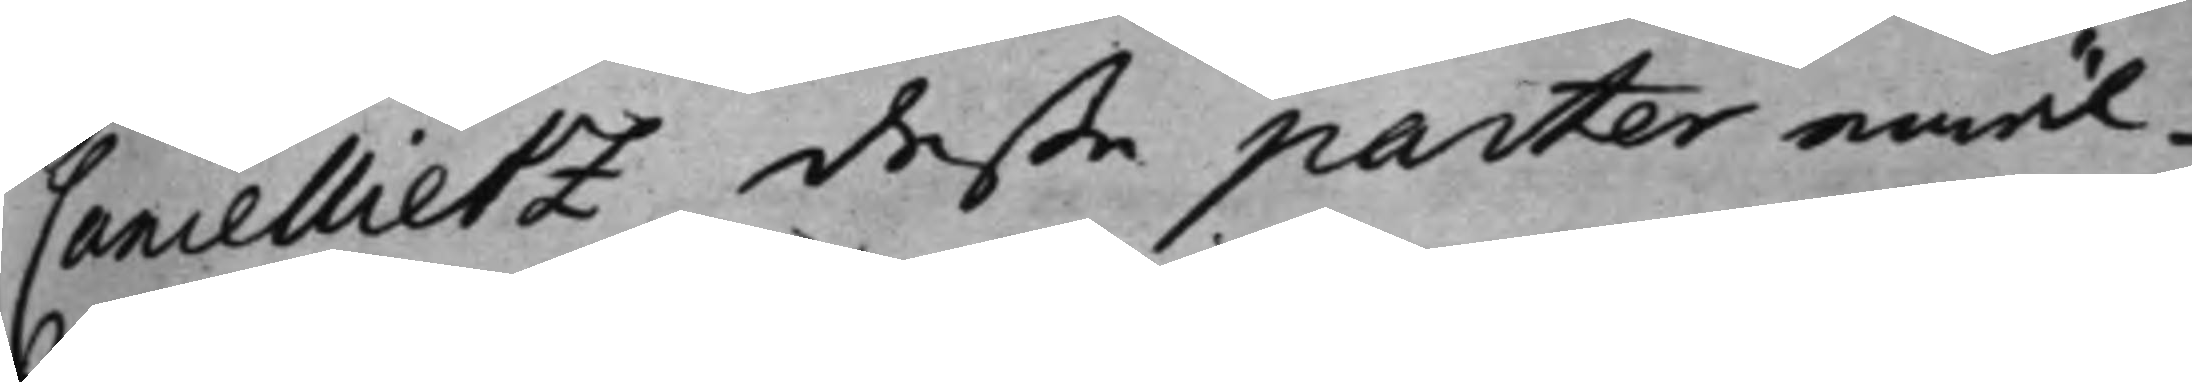Cancellietz deße parter emäl¬
